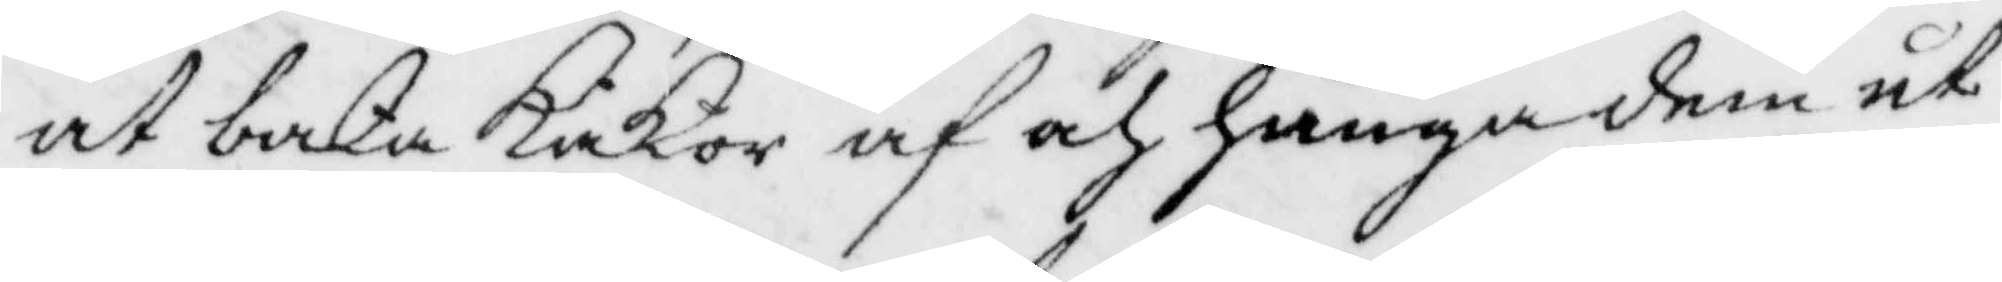at baka KaKor af och hänga dem ut
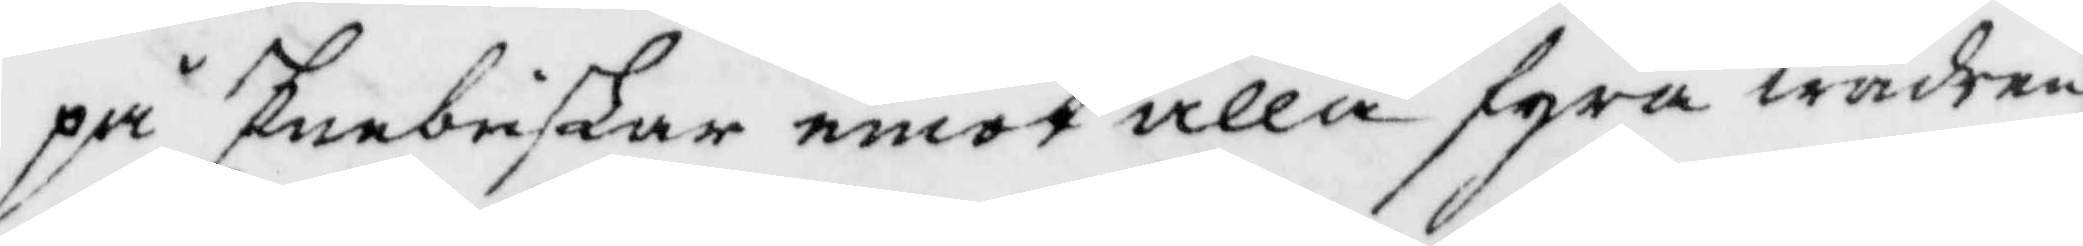på Enebuskar emot alla fyra wäder,
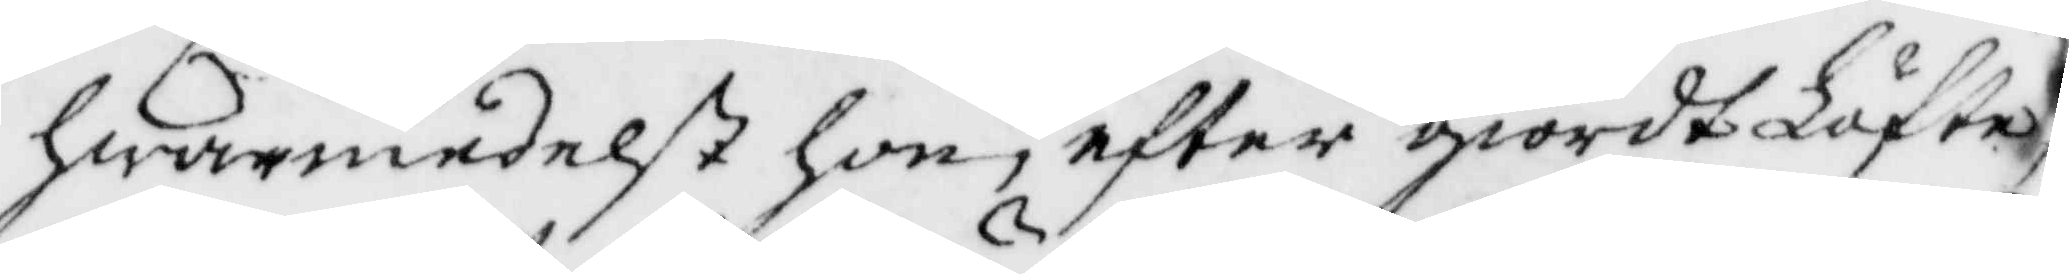hwarmedelst hon, efter giordt Löfte,
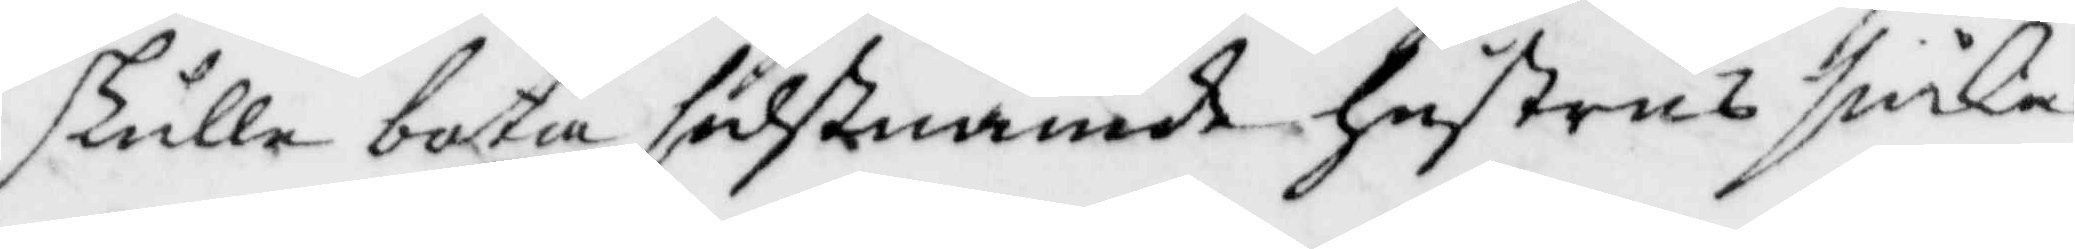skulle bota sidstnämde hustrus siuka
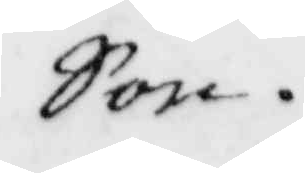Son.
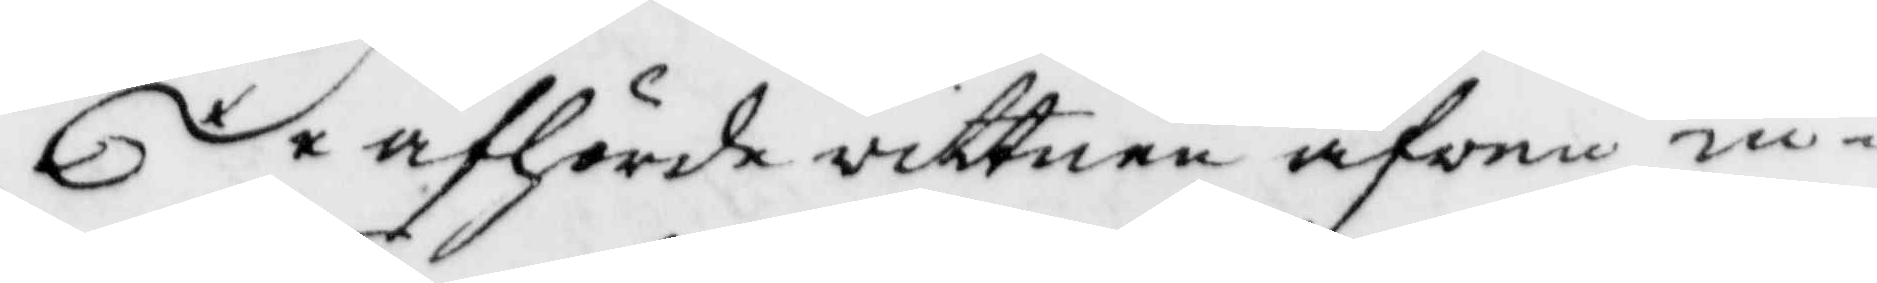De afhörde vittnen äfven in¬
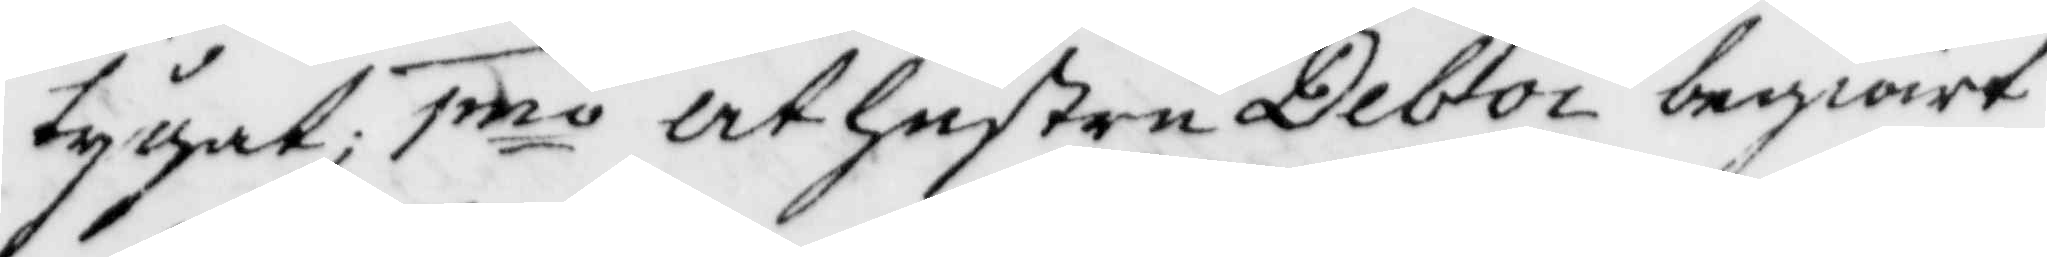tygat; 1mo at hustru Deboi begiärt
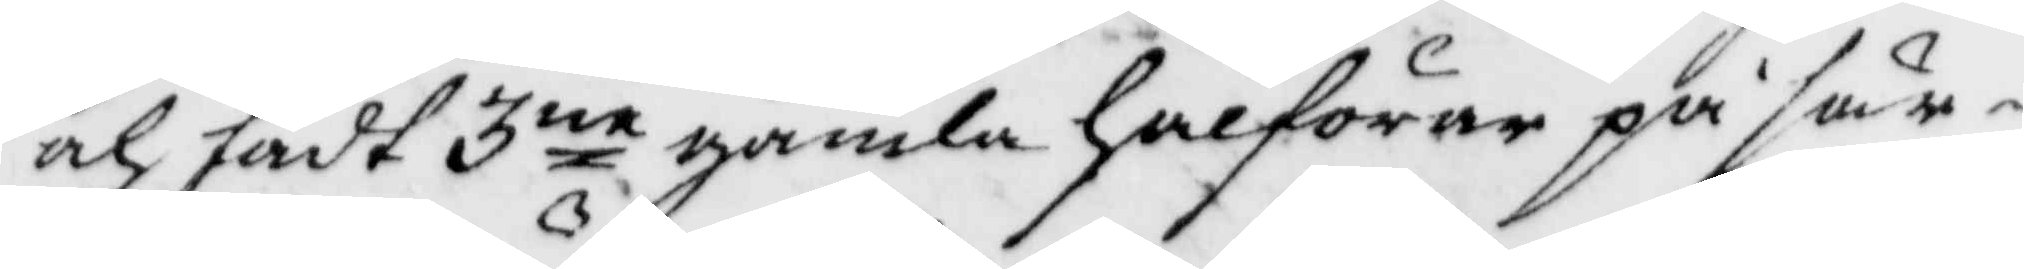och fådt 3ne gamla halförar på sär¬
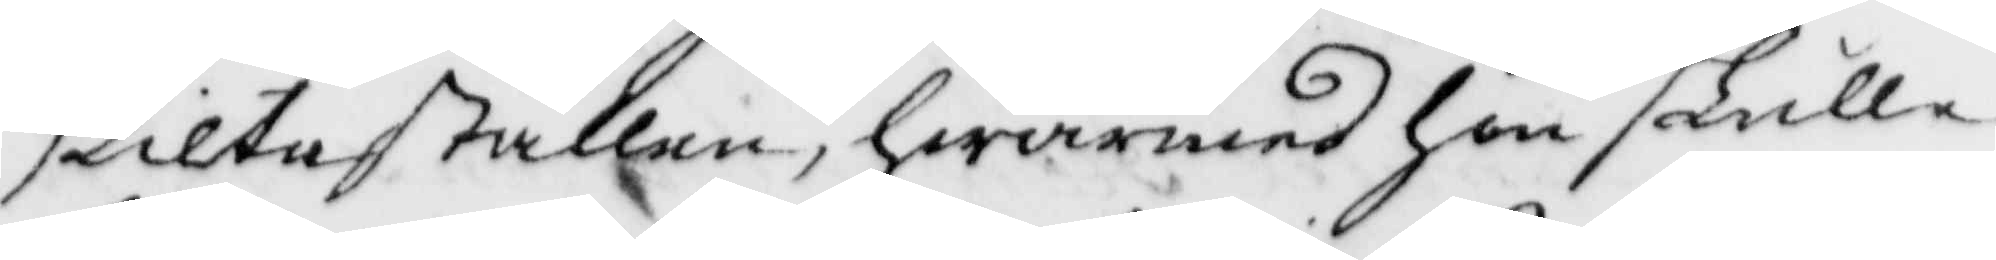skilta ställen, hwarmed hon skulle
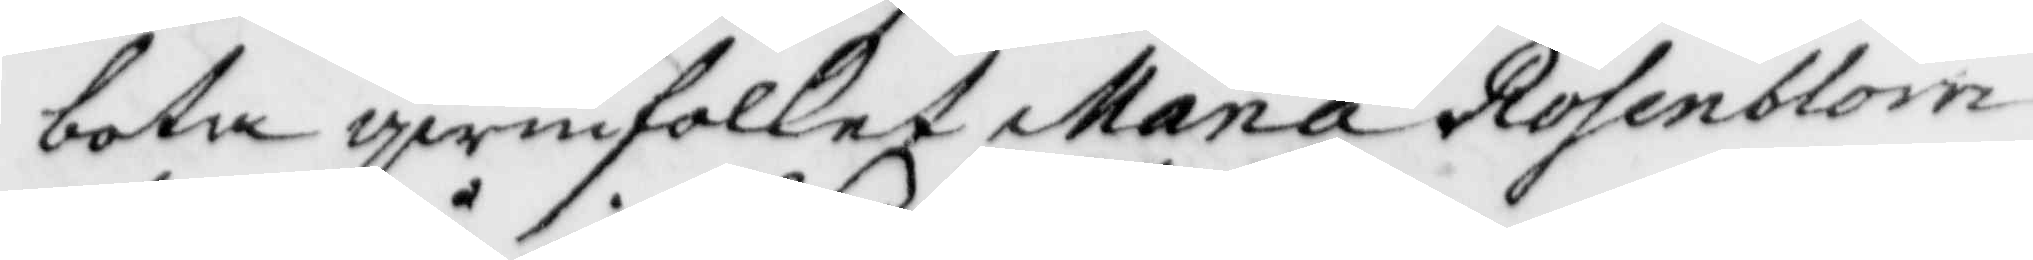bota qwinfolket Maria Rosenblom
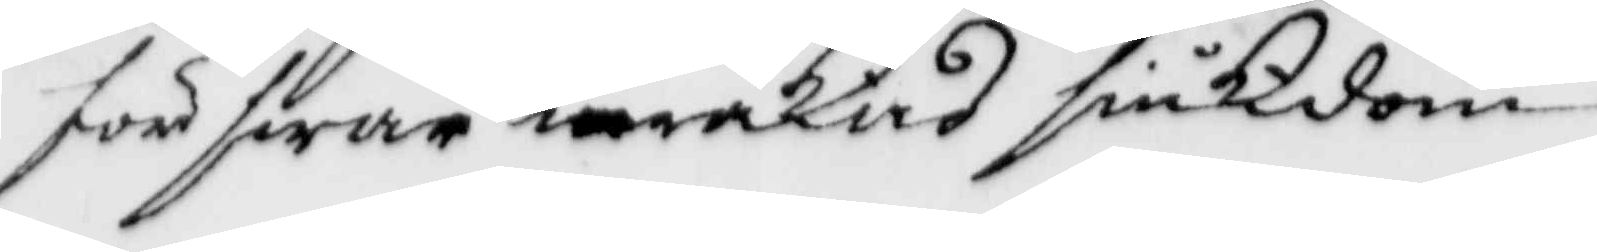för swår iråkad siukdom.
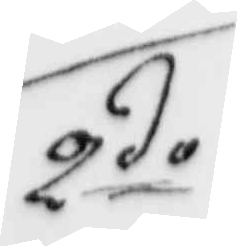2do
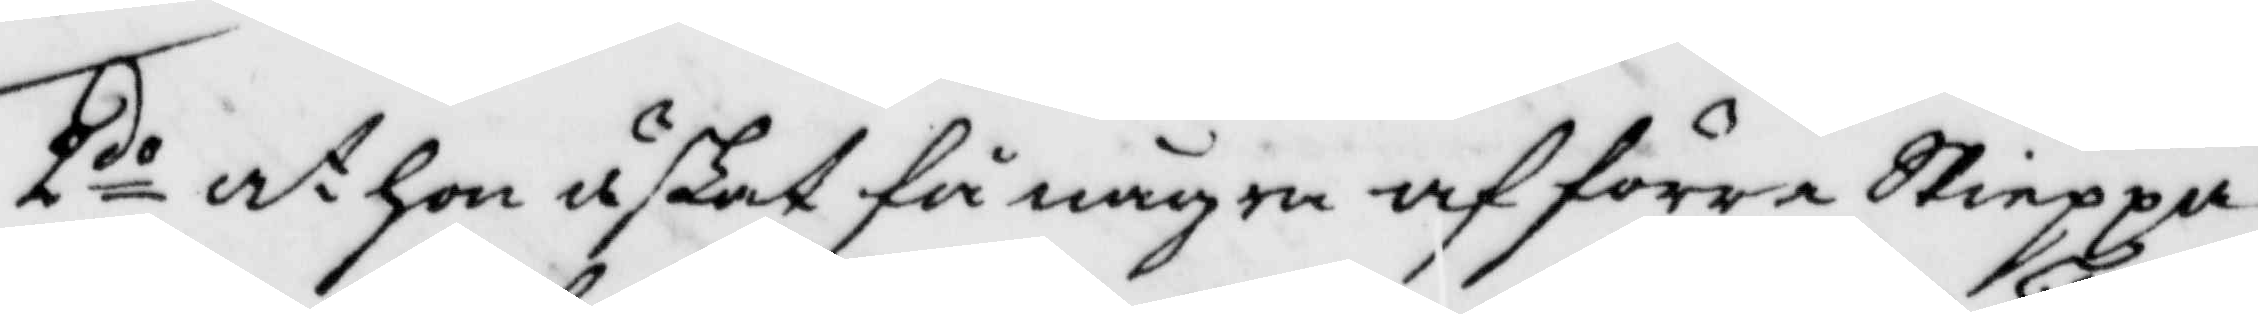2do at hon äskat få några af förre Skieppa¬
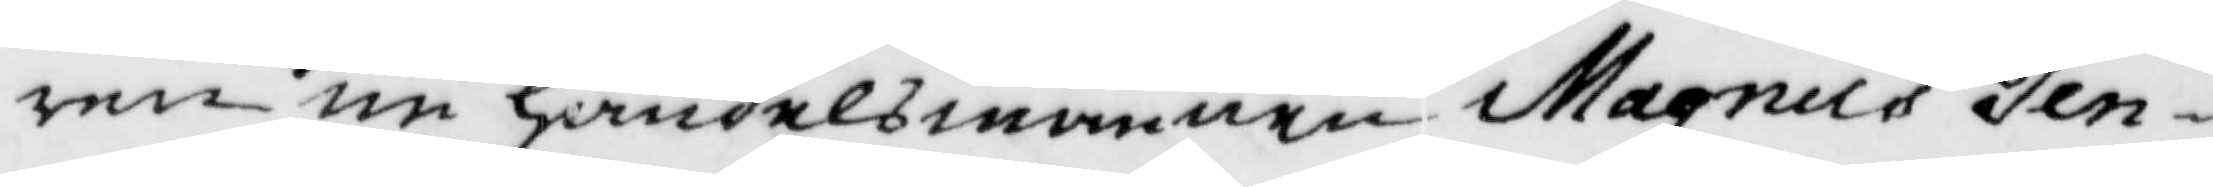ren nu handelsmannen Magnus Ten¬
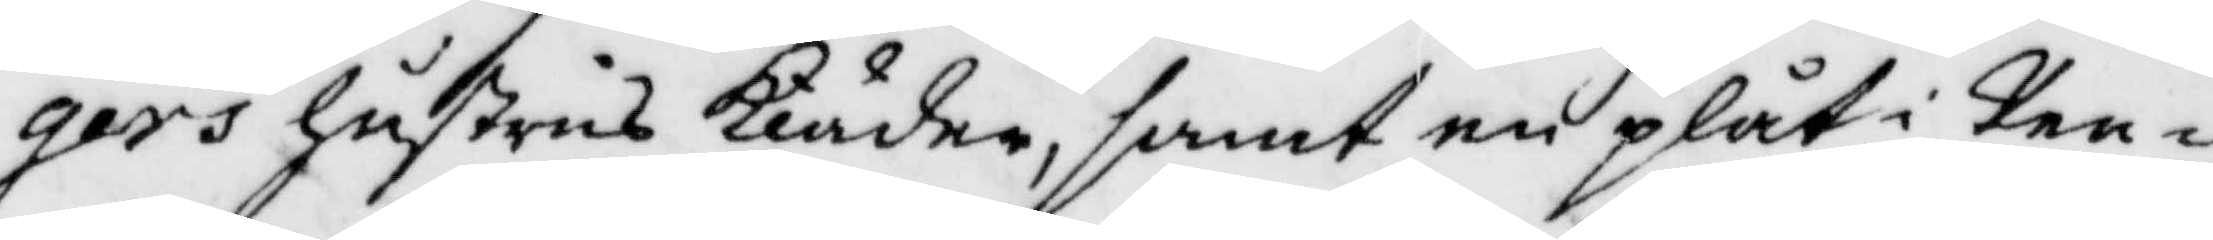gers hustrus Kläder, samt en plåt i Pen¬
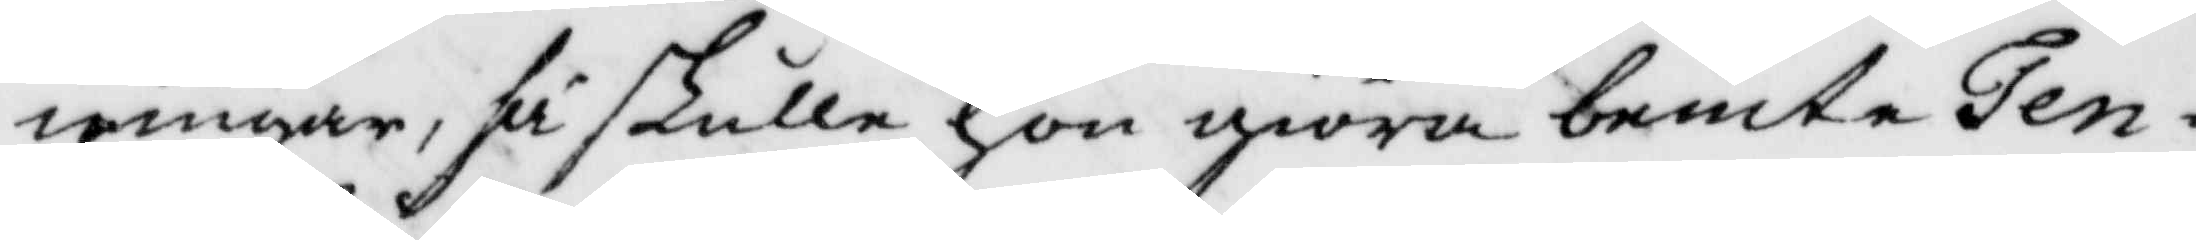ningar, så skulle hon giöra bemte Ten¬
